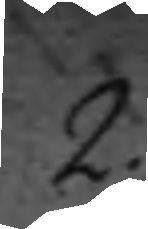2.
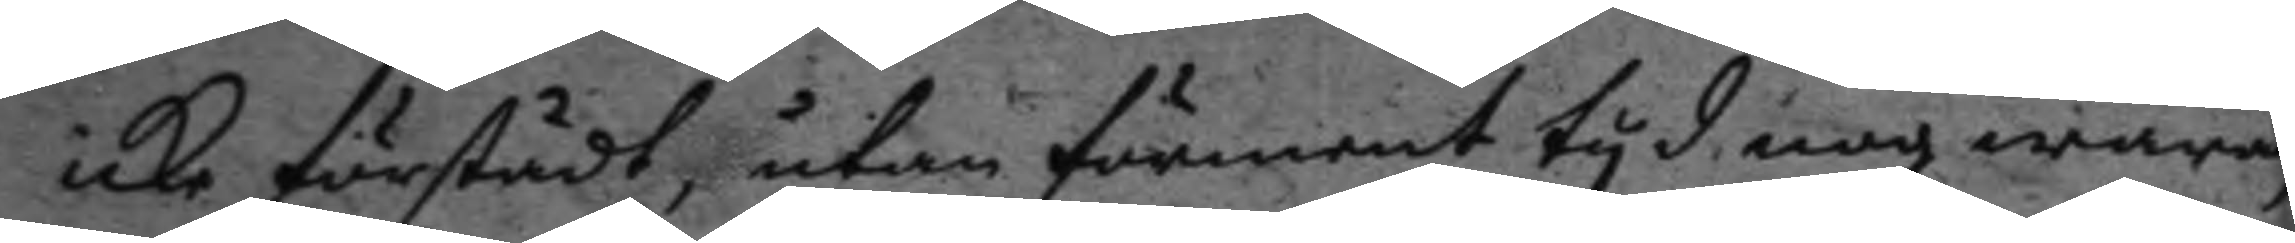icke förstådt, tan förment tyd nog wara,
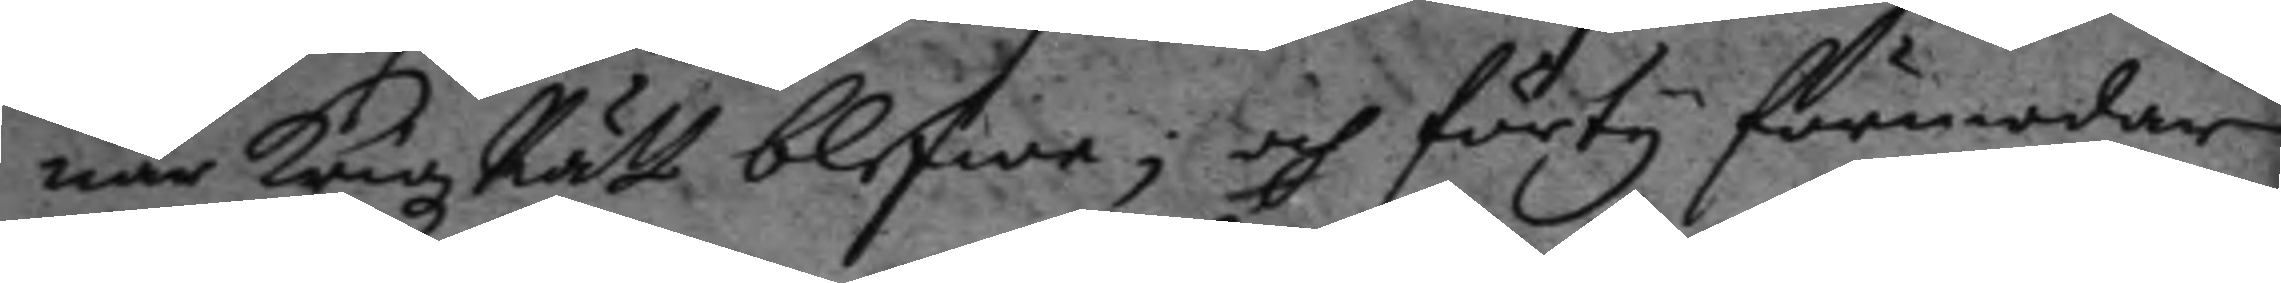nr Krigz Rätt blefwe; och förty förmodar
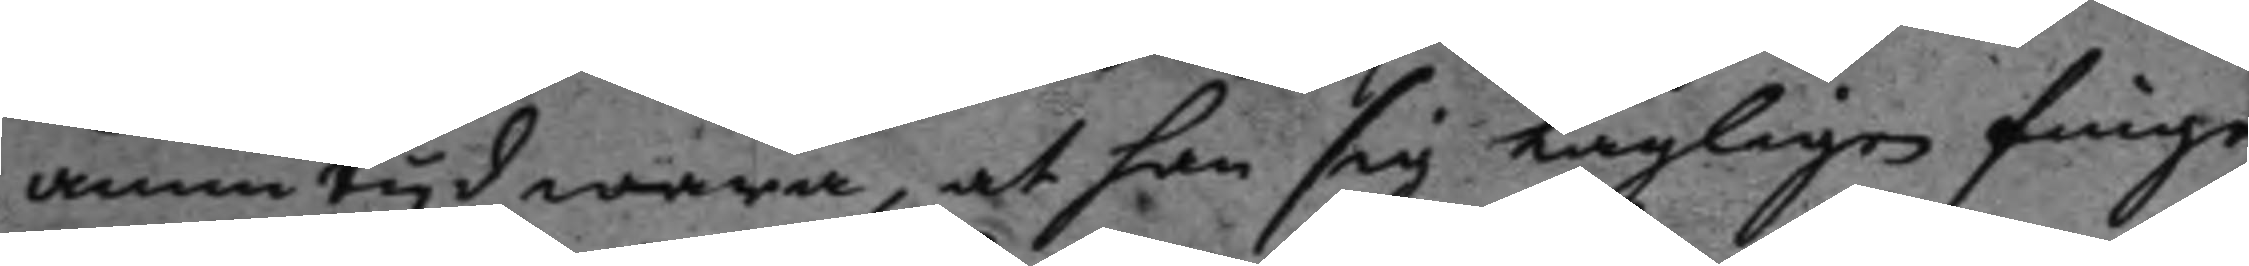ännu tyd wara, at han sig lagligen finge
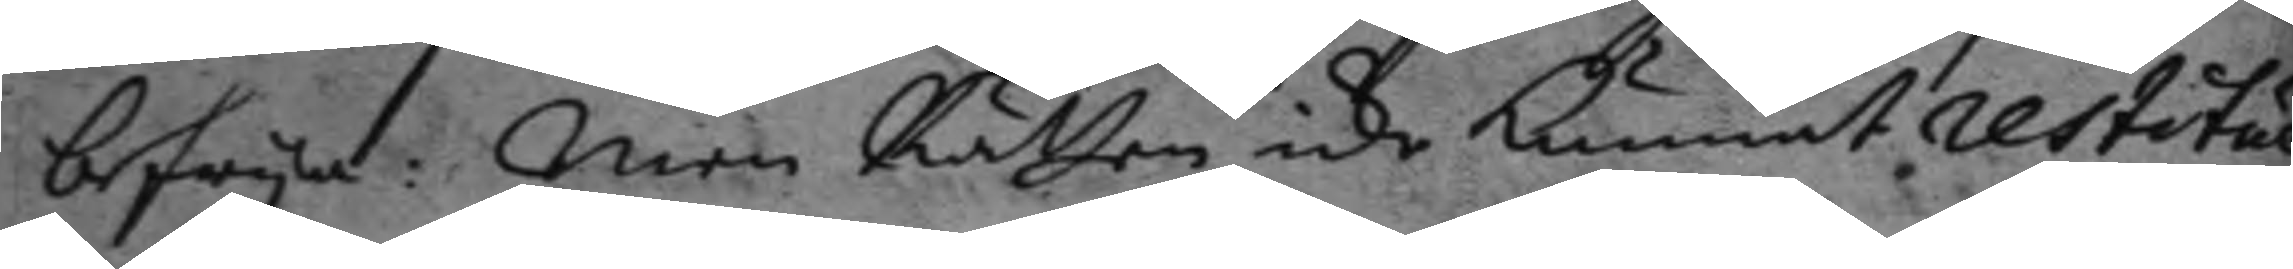befrya: Men Rätten icke kunnat restitue¬
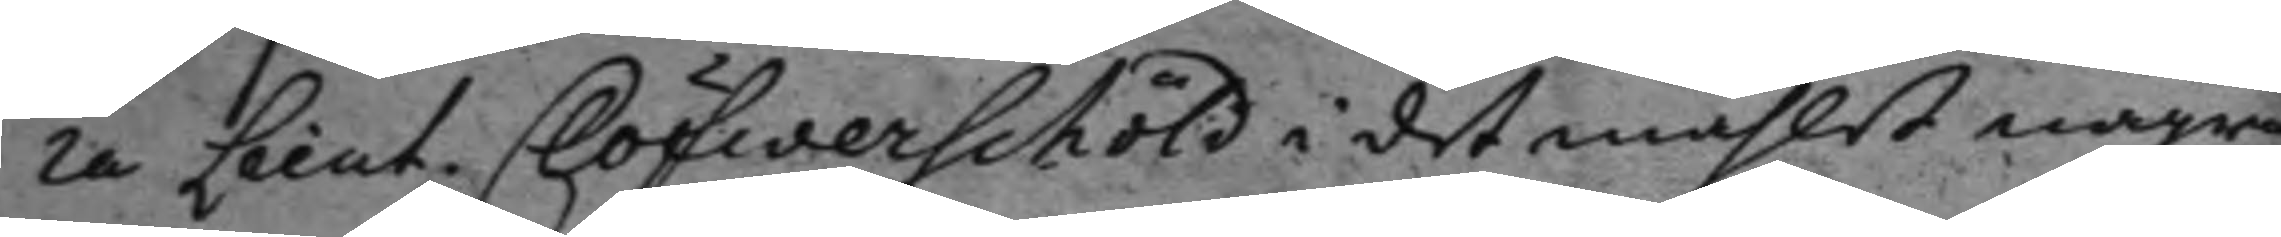ra Lieut. Clöfwerschöld i det måhlet några
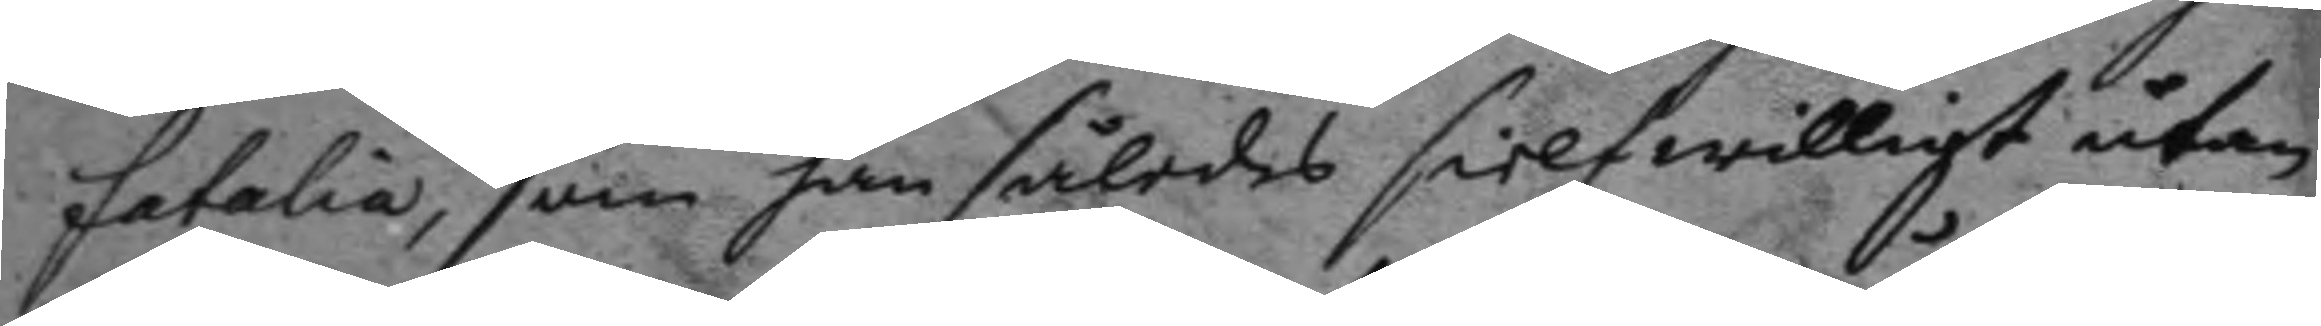fetalia, som han således sielf wiligt utan
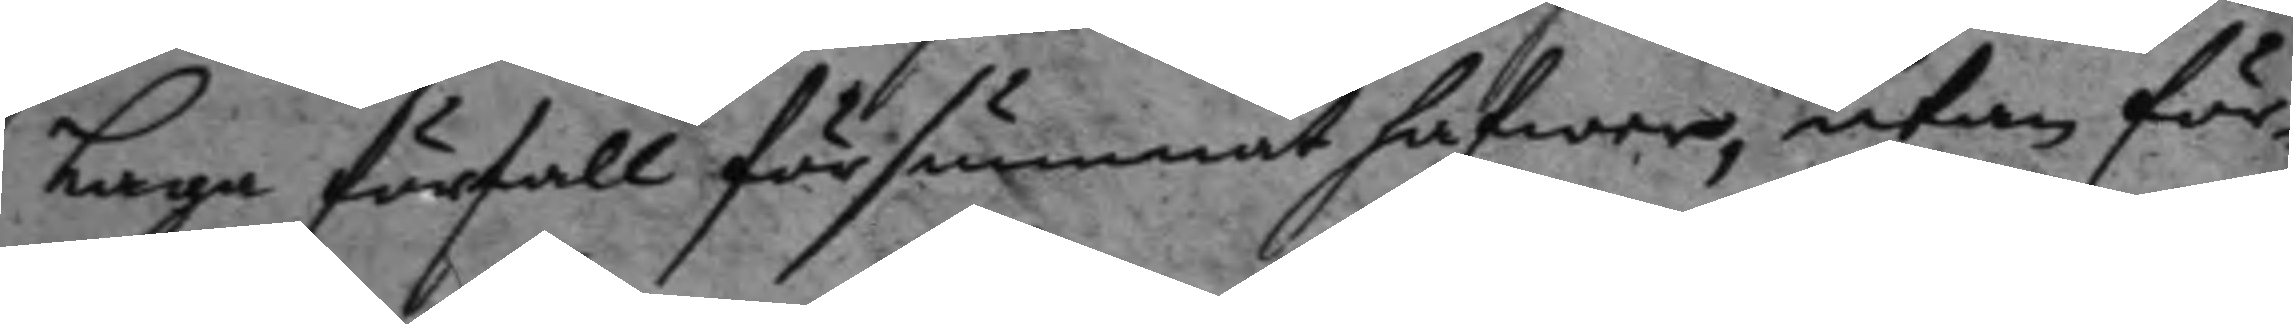Laga förfall försummat hafwer, utan för¬
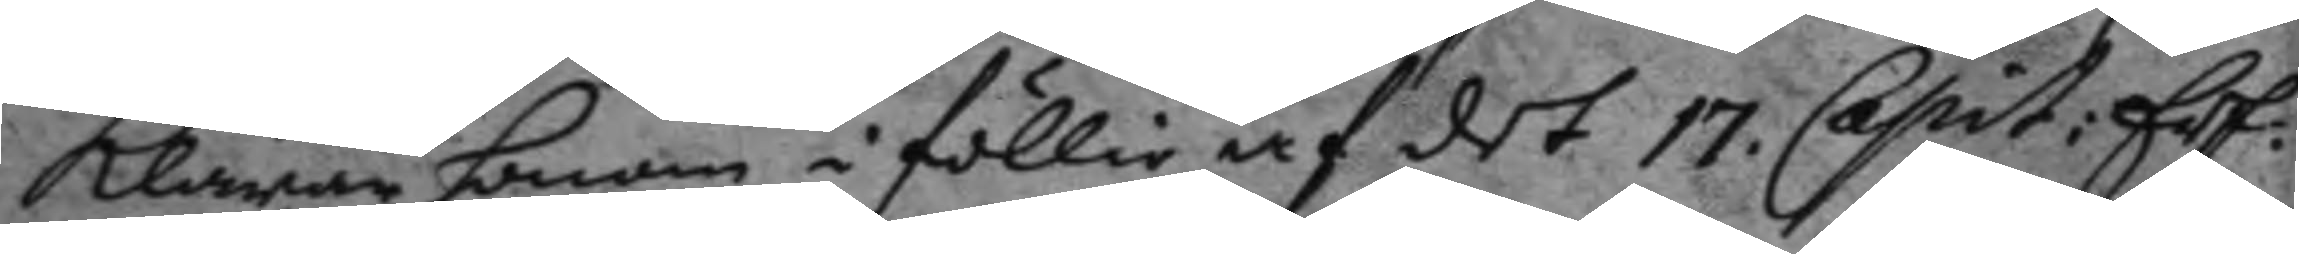klarar honom i föllie af det 17. Capit: Erf.
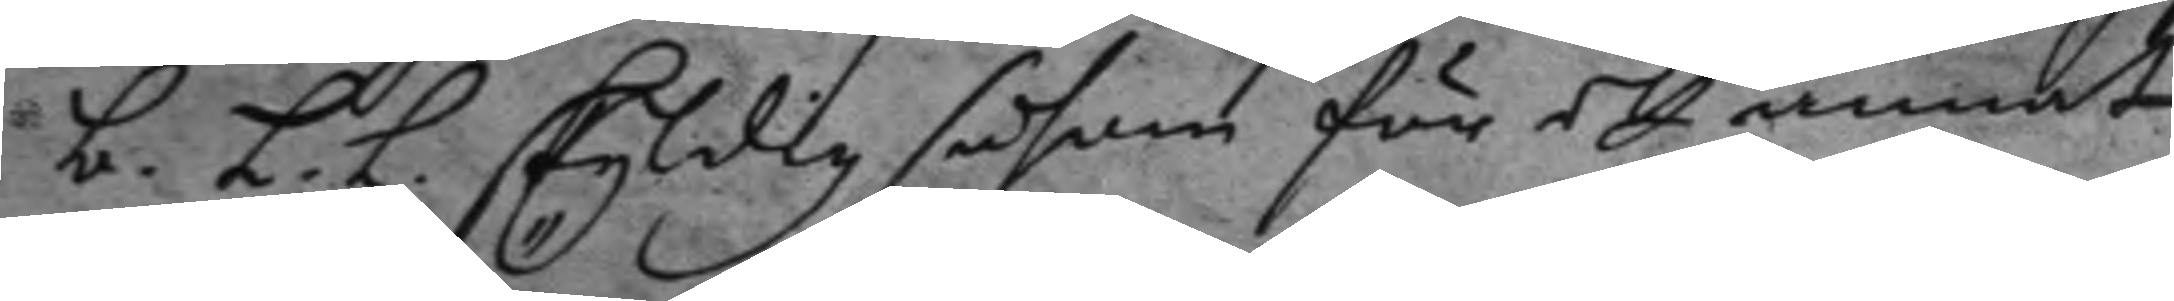b. L.L. skyldig såsom för ett annat
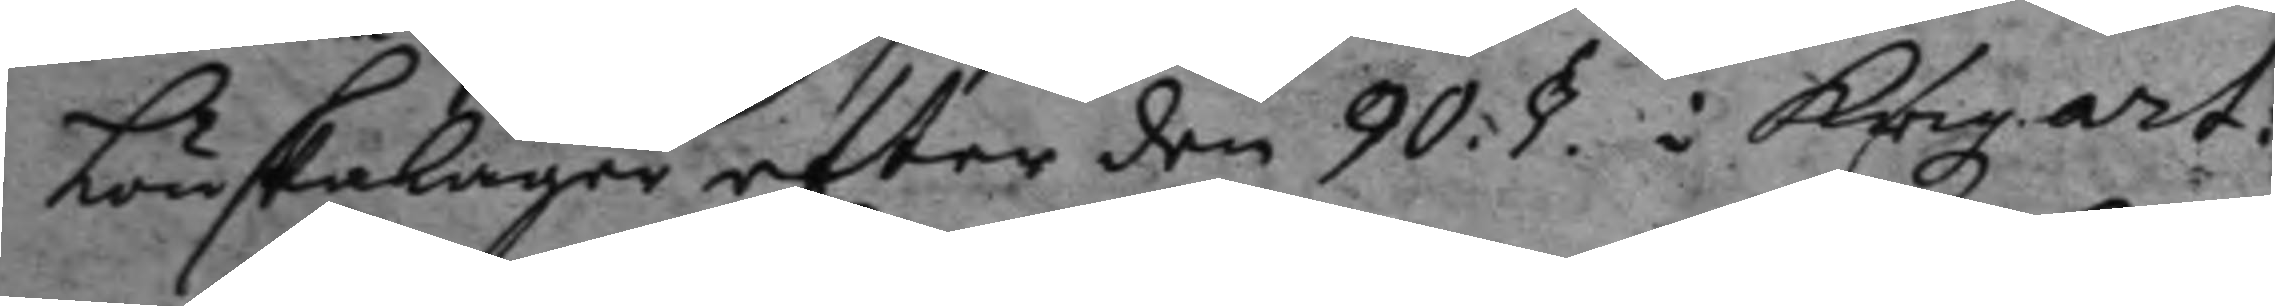Lönskaläger efter den 90. §. i Krigz art:
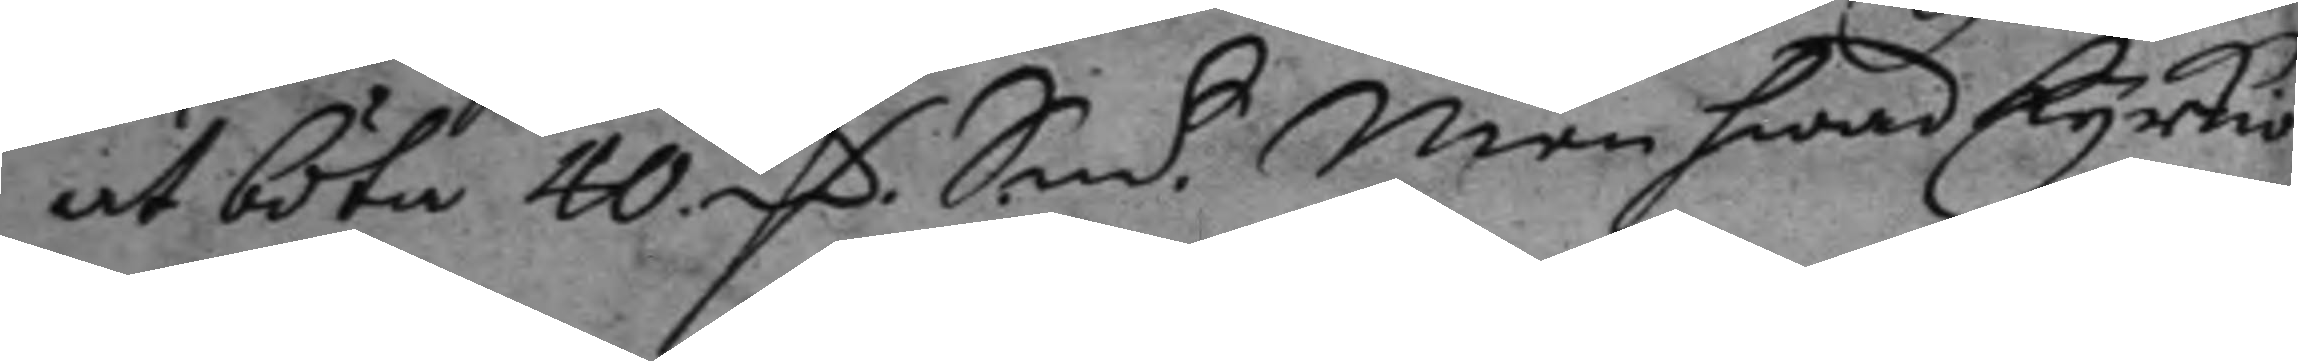at böta 40 mC Smt. Men hwad kyrkio¬
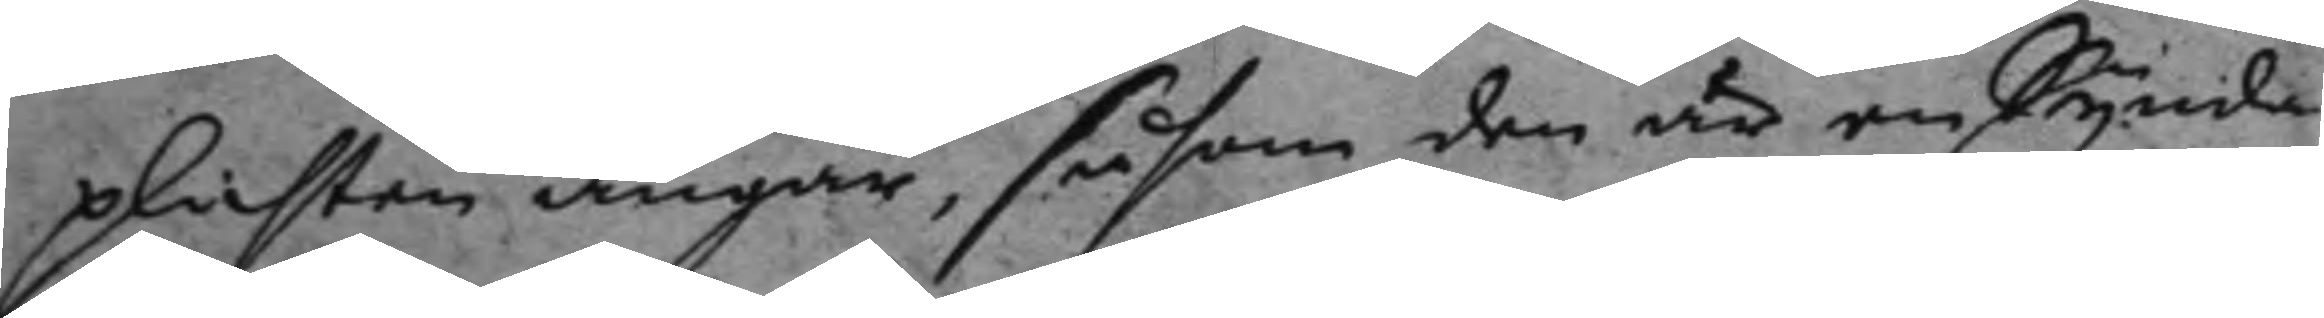plichten angår, såsom den är en Synda
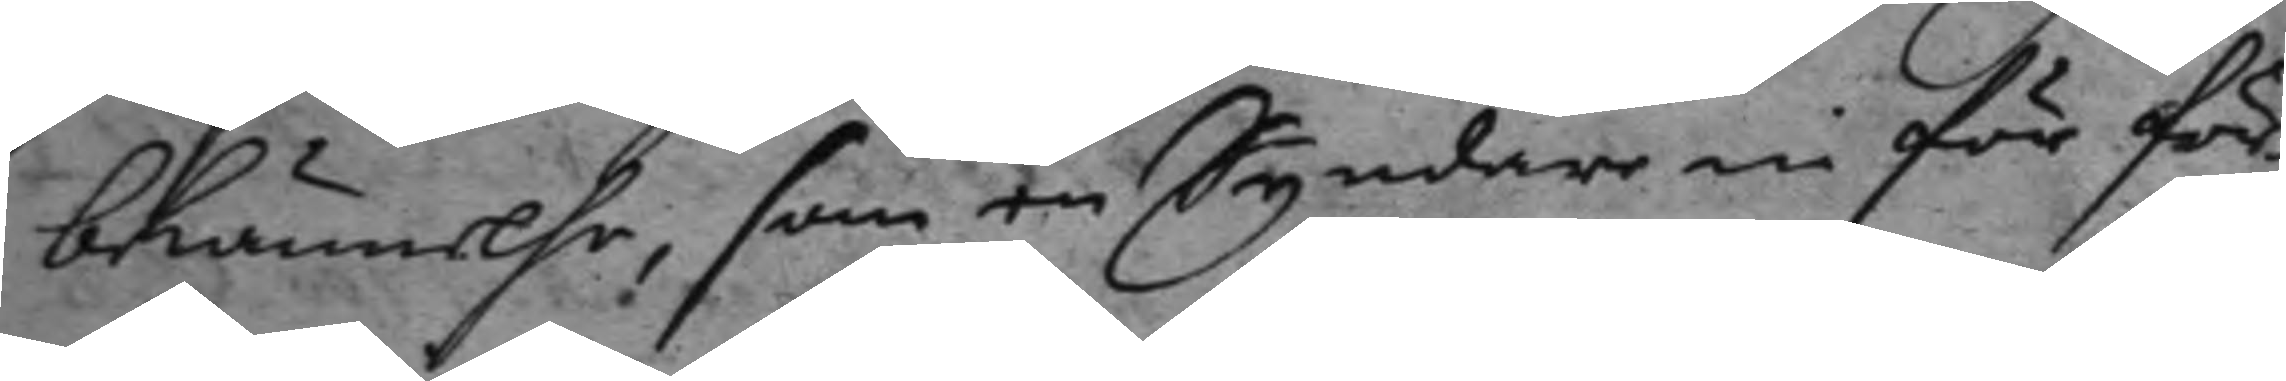bekännelse, som en Syndare in för för¬
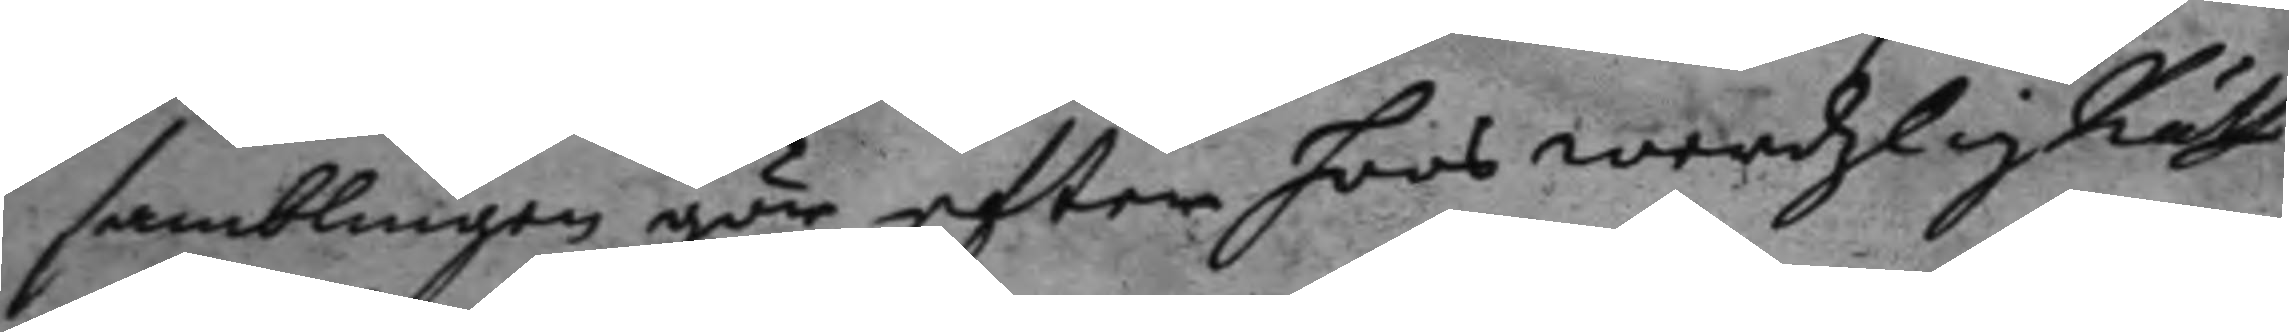samblingen gör efter hoos werdzlig Rätt
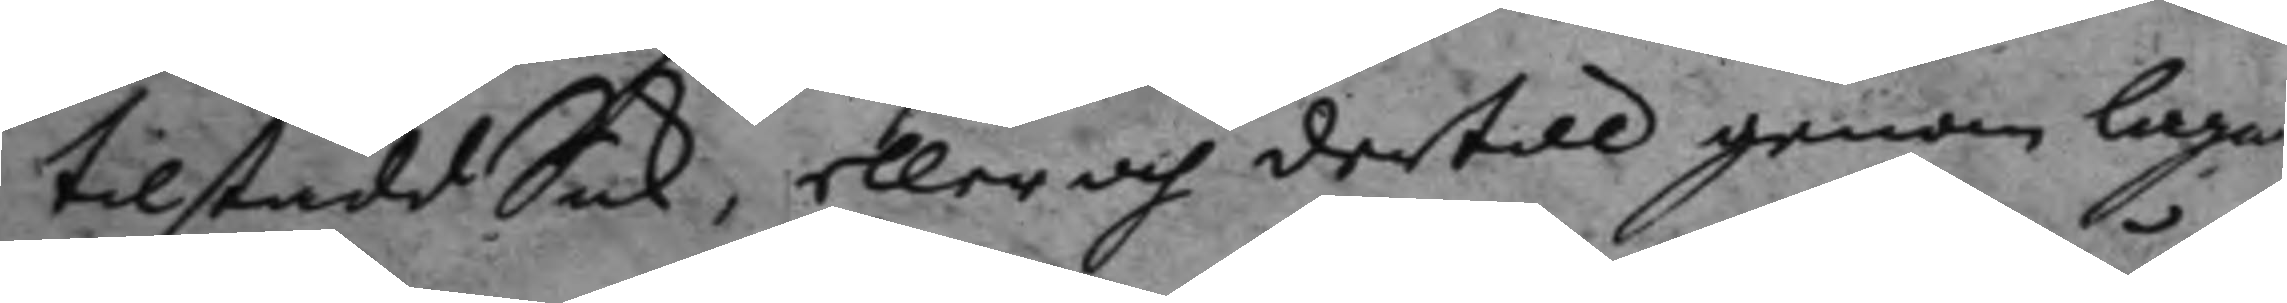tillstådd Sak, eller och dertill genom laga
